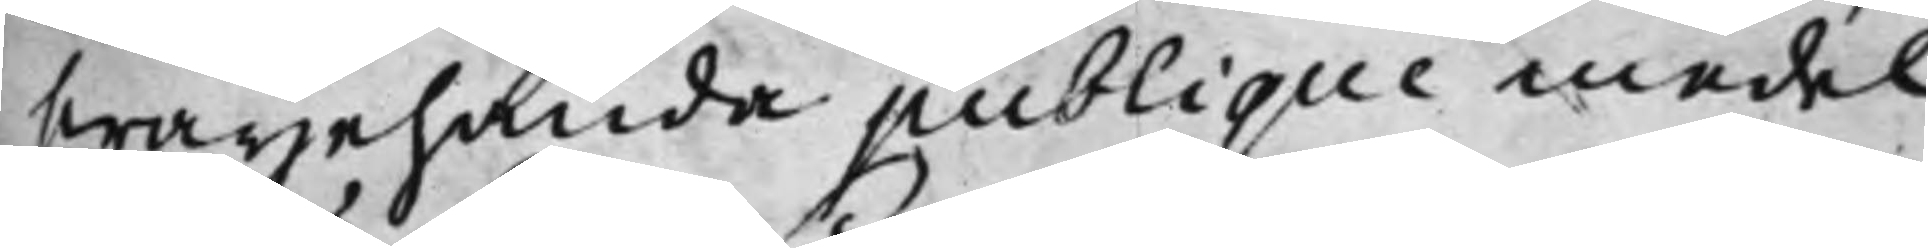hwarjehanda publique medel.
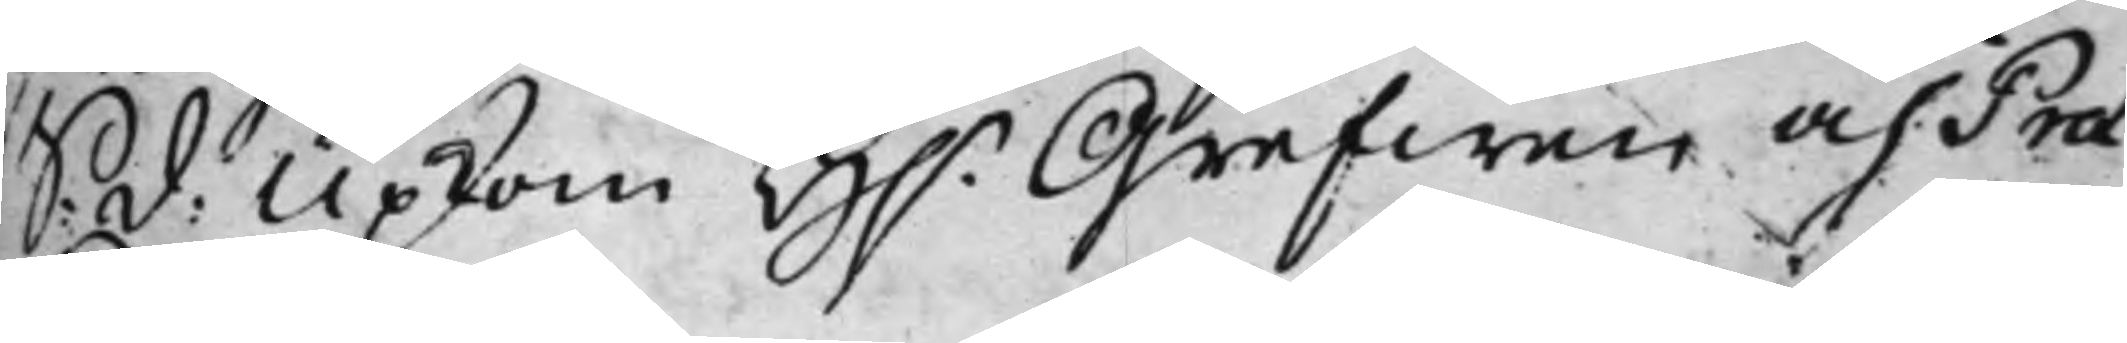S: d: Upkom H.r Grefwen och Prae¬
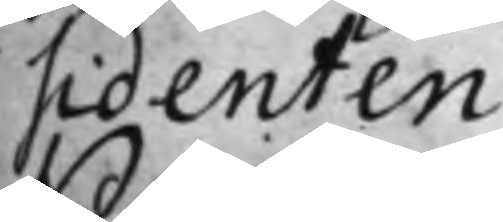sidenten
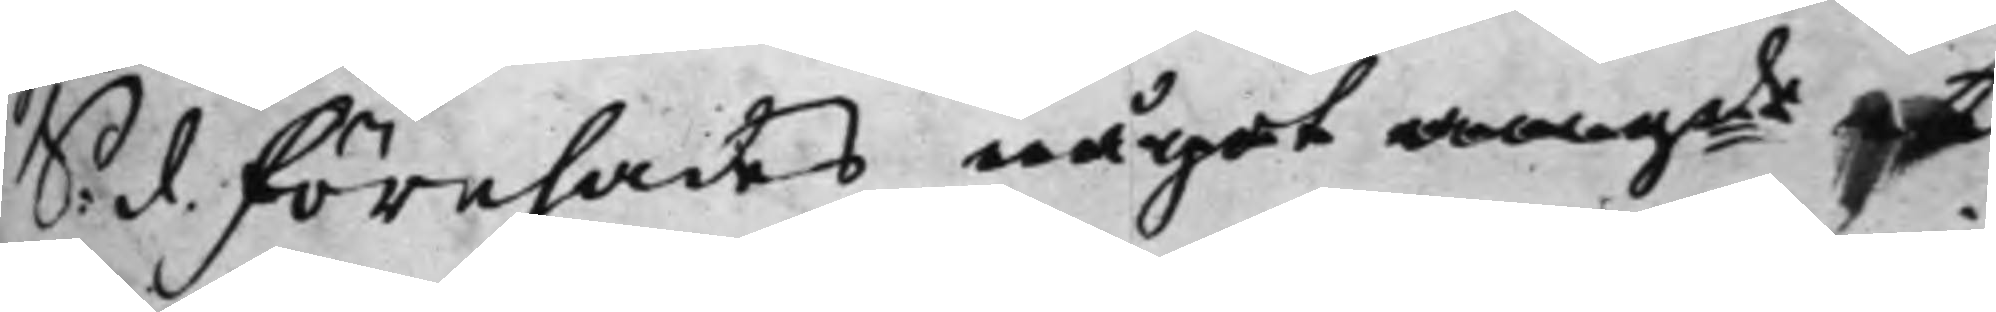S: d. Förehades något angde et
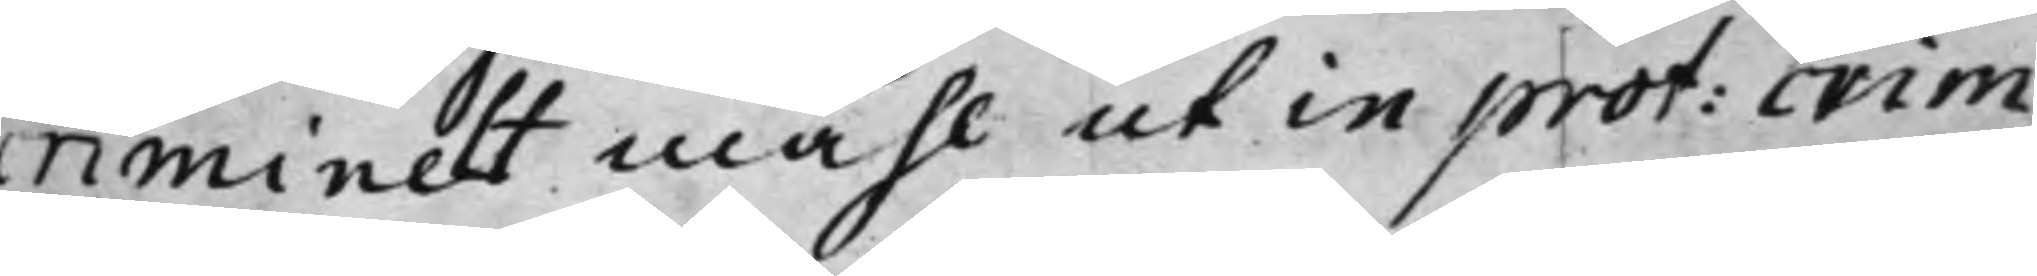criminelt måhl ut in prot: crim:
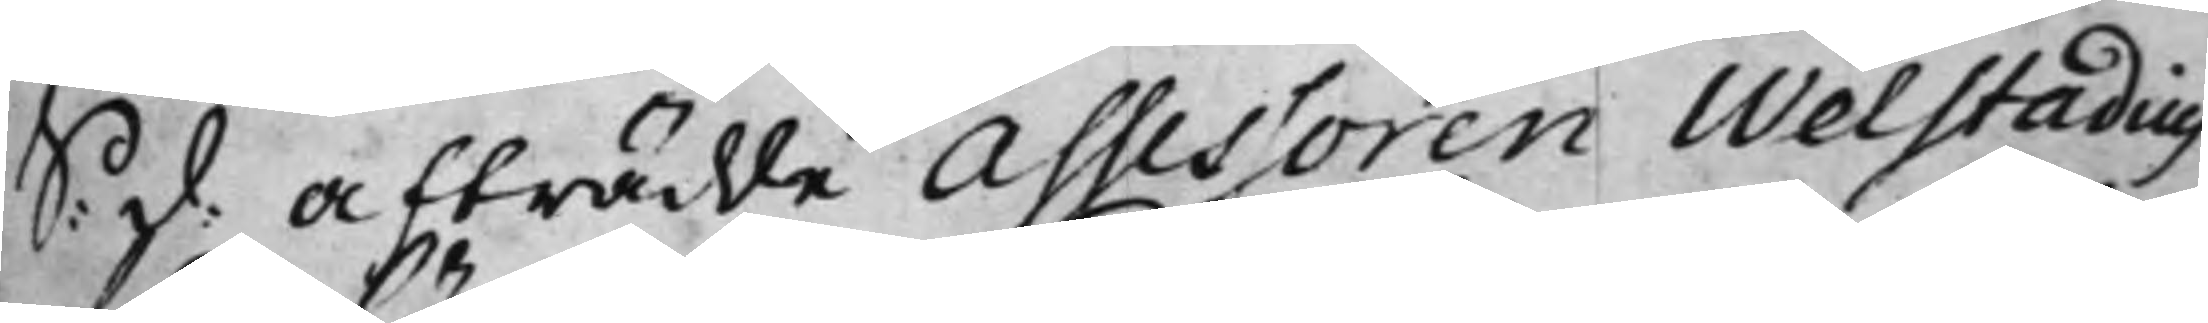S: d: Afträdde Assessoren Welstadius
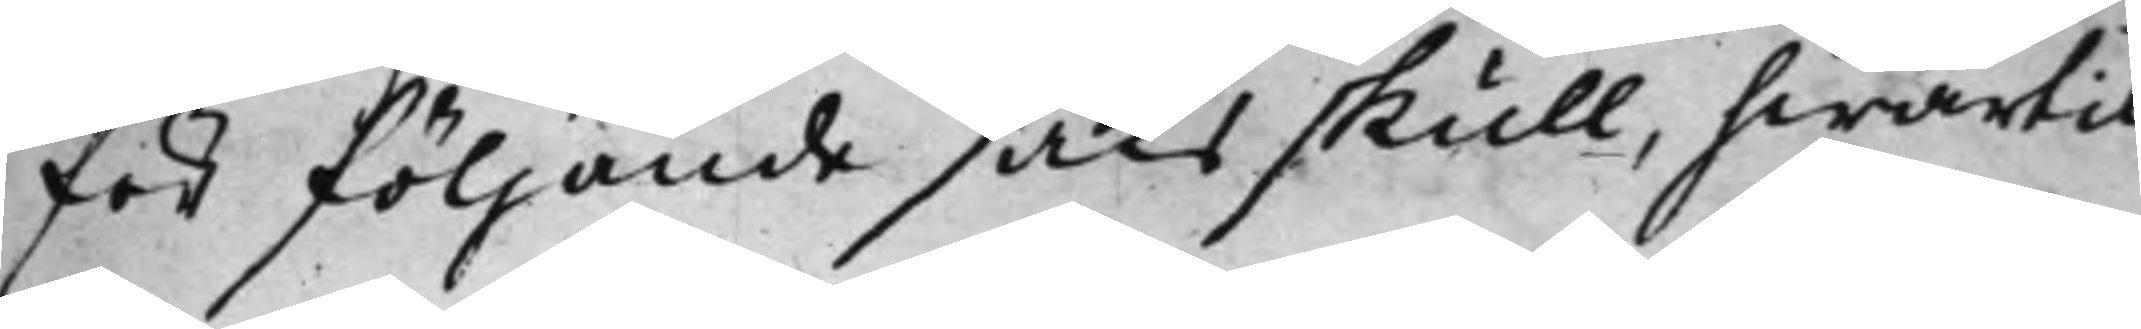för följande saks skull, hwartil
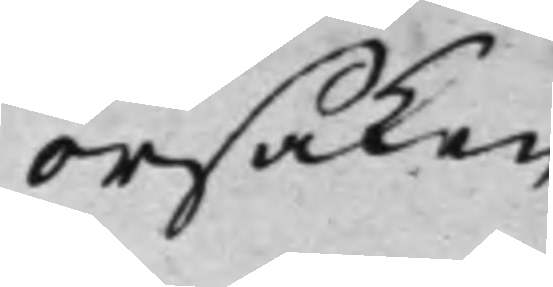orsaken
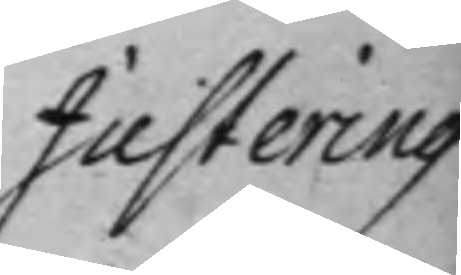Justering
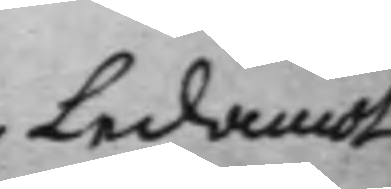Ledamot
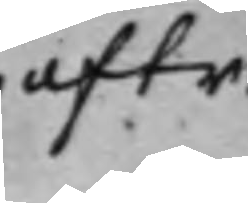aftr:
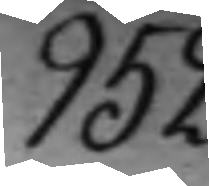952.
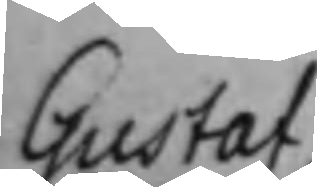Gustaf-
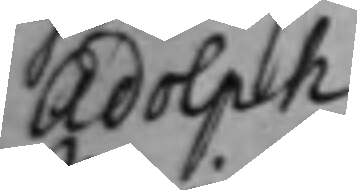Adolph
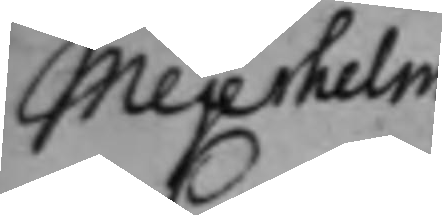Mejerhelm
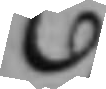C:
